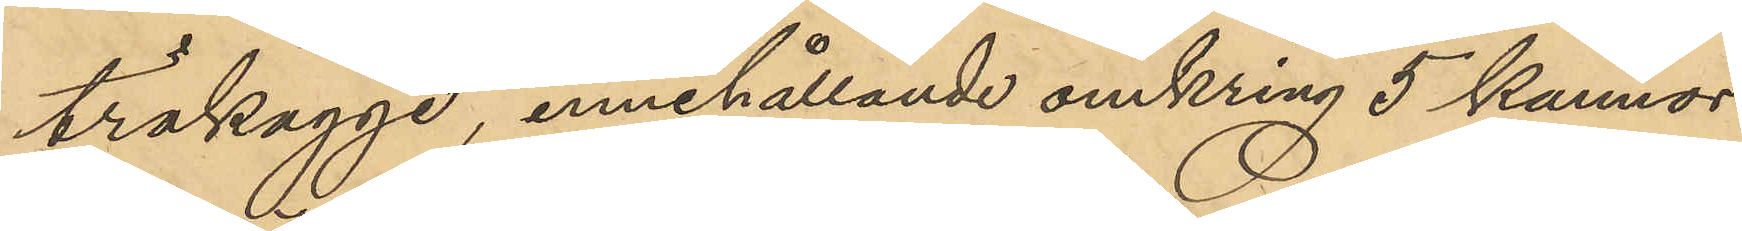träkagge, innehållande omkring 5 kannor
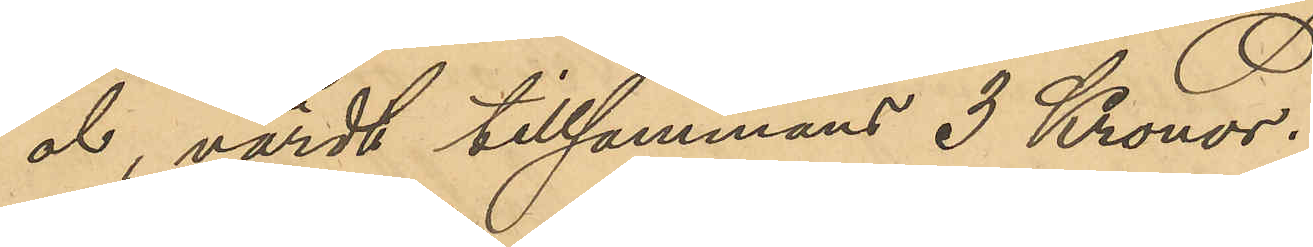öl, värdt tillsammans 3 Kronor.
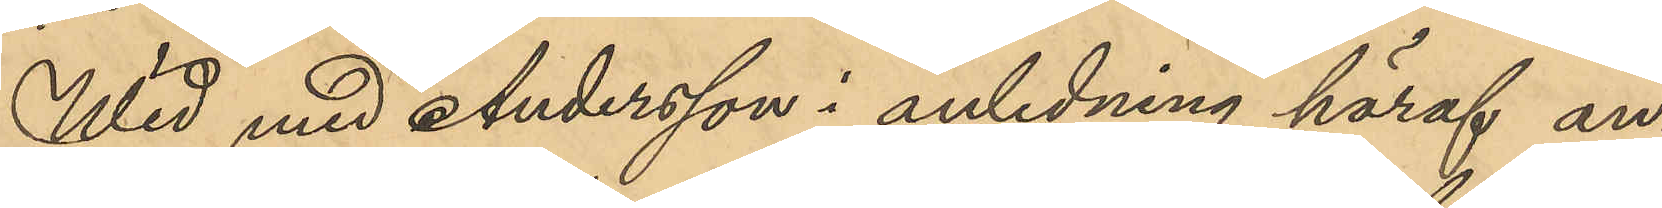Wid med Andersson i anledning häraf an¬
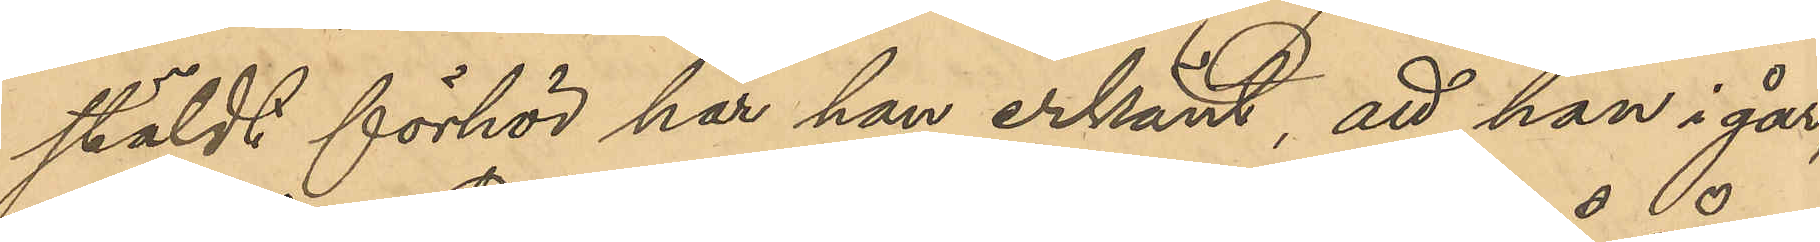stäldt förhör har han erkänt, att han i går
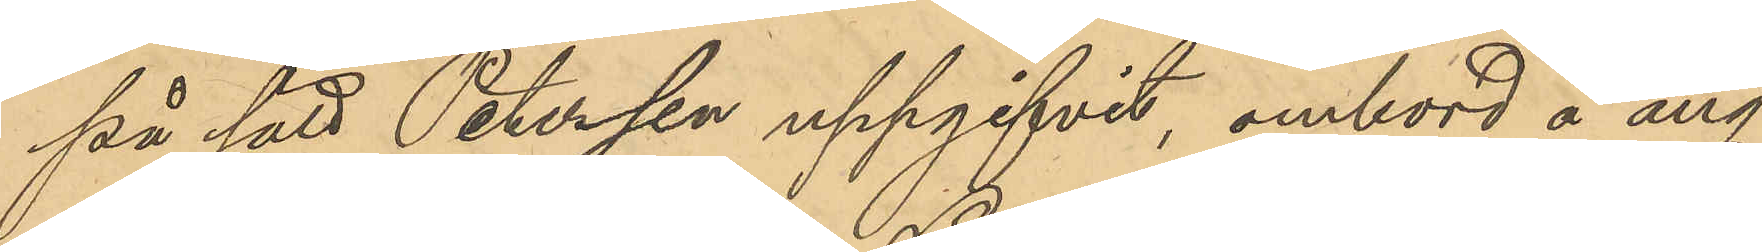på sätt Petersson uppgifvit, ombord å ång¬
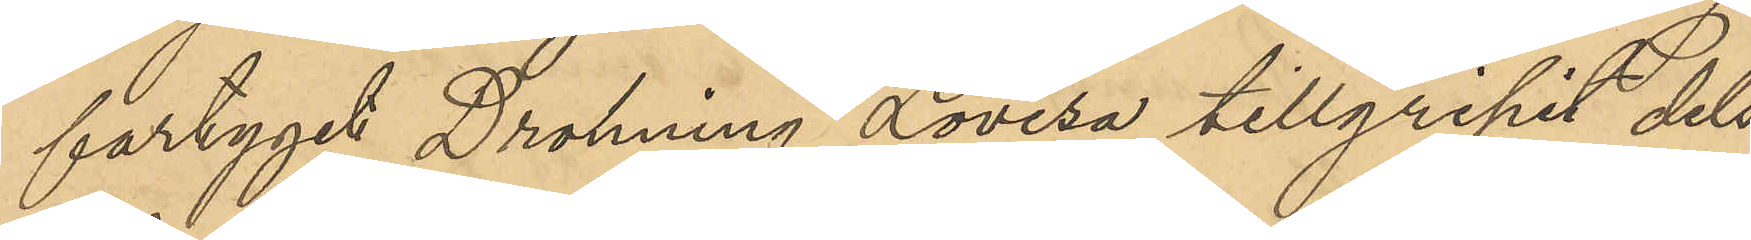fartyget Dronning Lovisa tillgripit dels
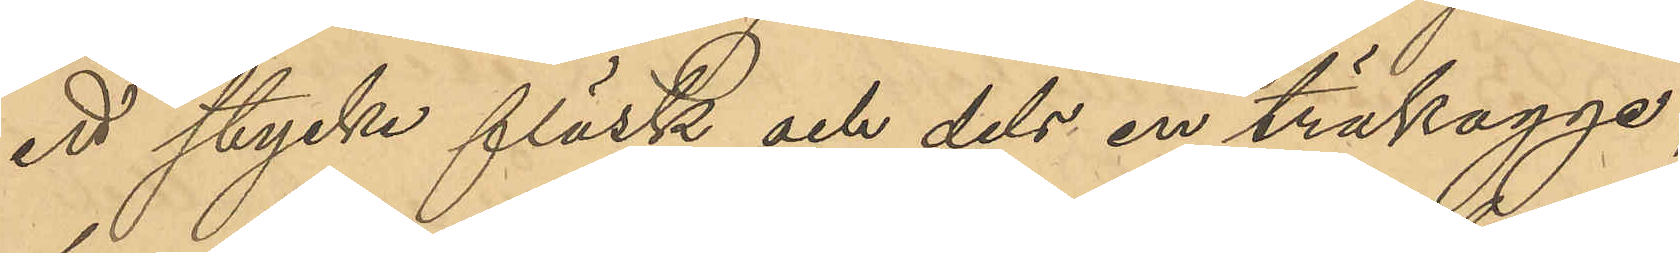ett stycke fläsk och dels en träkagge
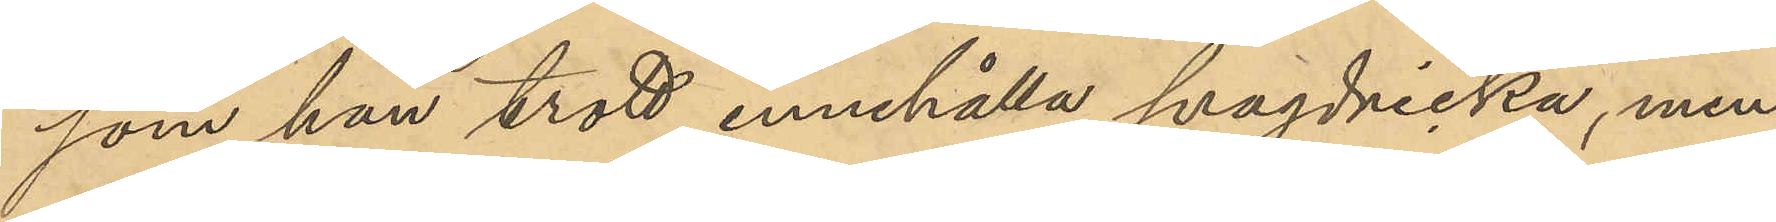som han trott innehålla svagdricka, men
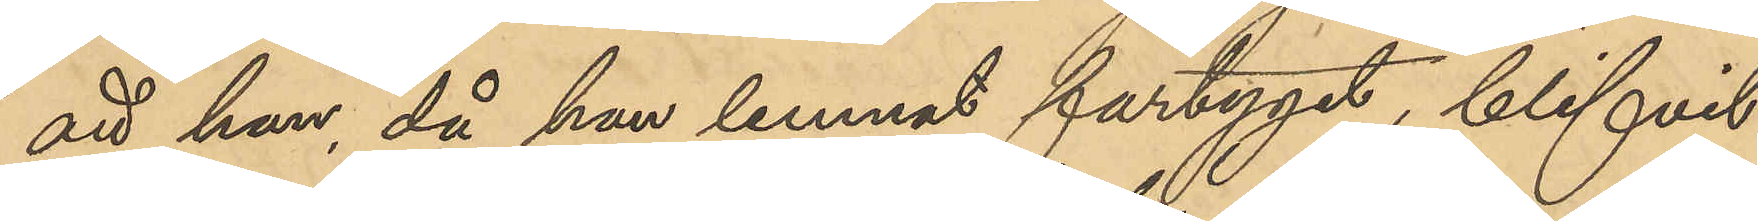att han, då han lemnat fartyget, blifvit
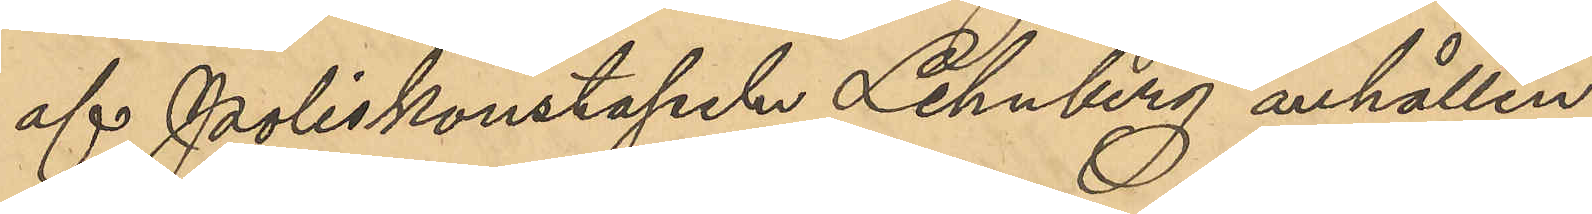af Poliskonstapeln Lehnberg anhållen.
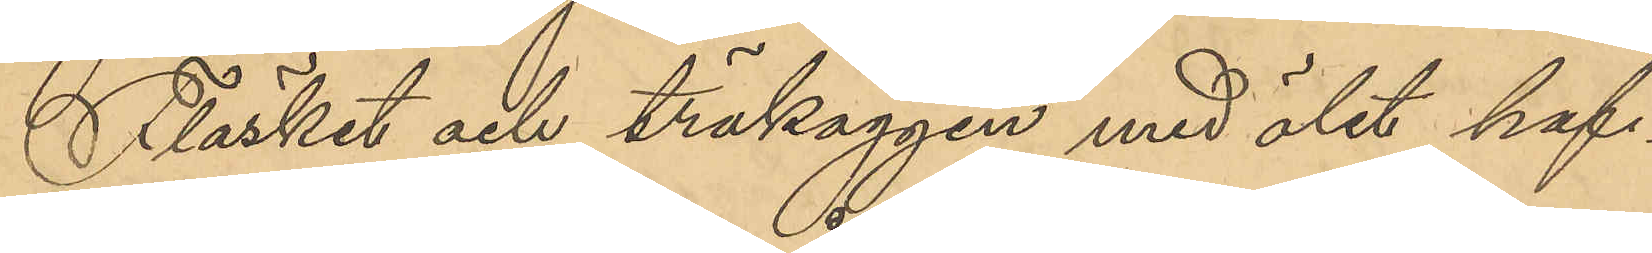Fläsket och träkaggen med ölet haf¬
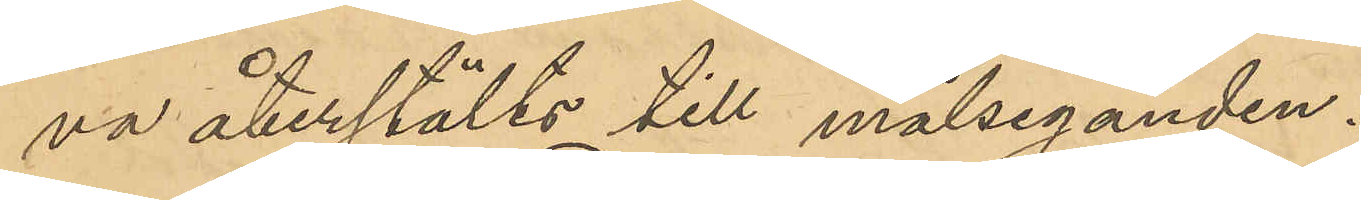va återställts till målseganden.
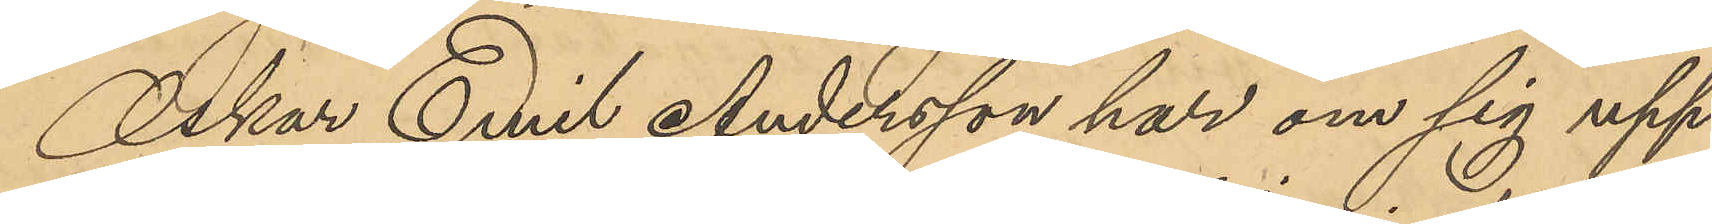Oskar Emil Andersson har om sig upp¬
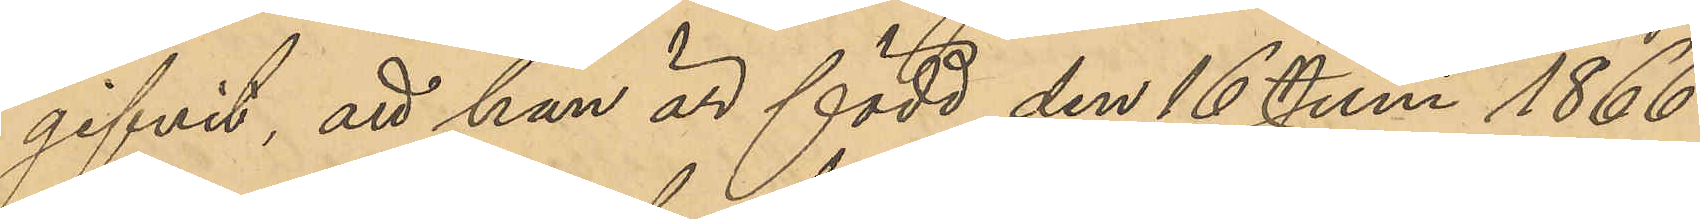gifvit att han är född den 16 Juni 1866
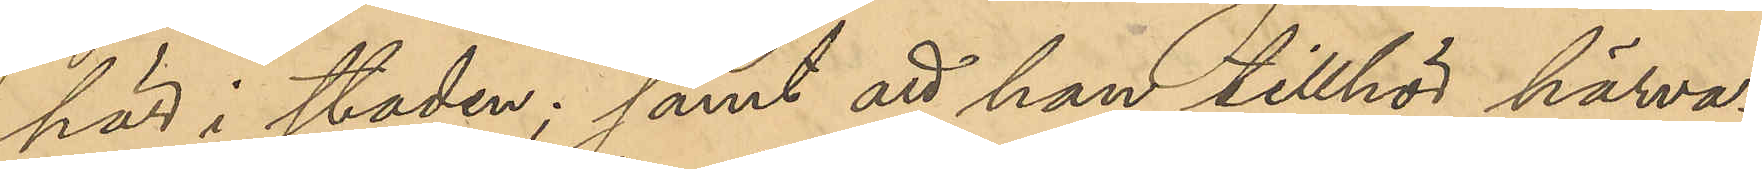här i staden; samt att han tillhör härva¬
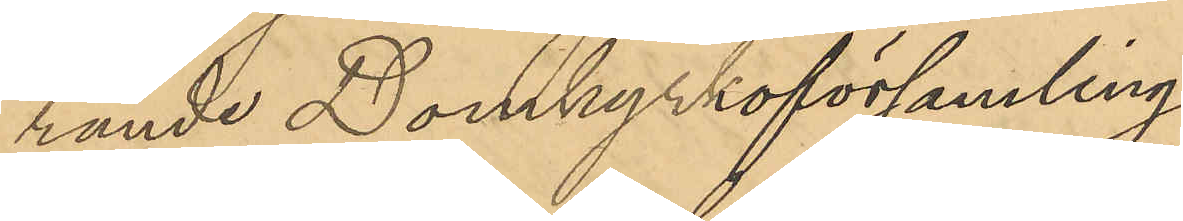rande Domkyrkoförsamling.
